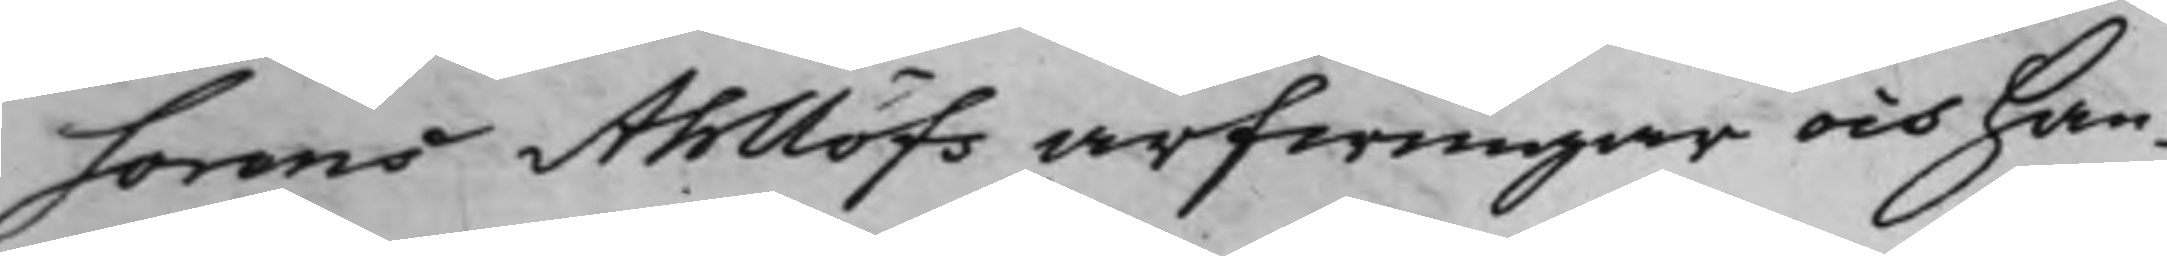sorens Ahllöfs arfwingar och han¬
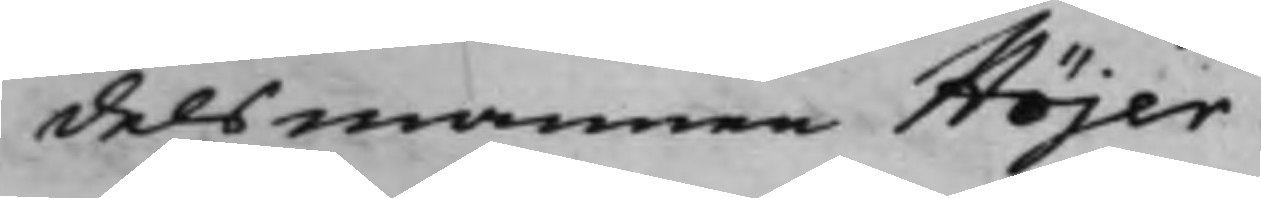delsmannen Höjer¬
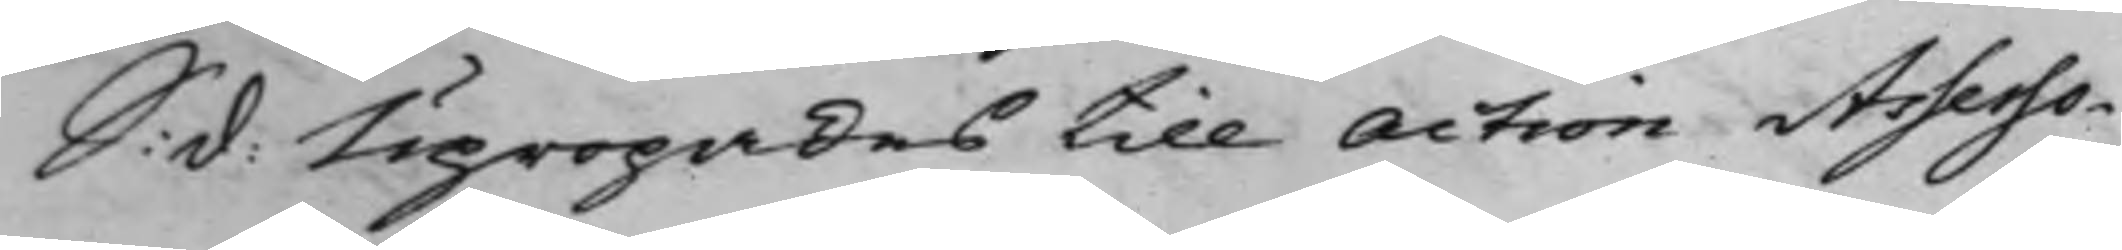S: d: Upropades till Action Assesso¬ 
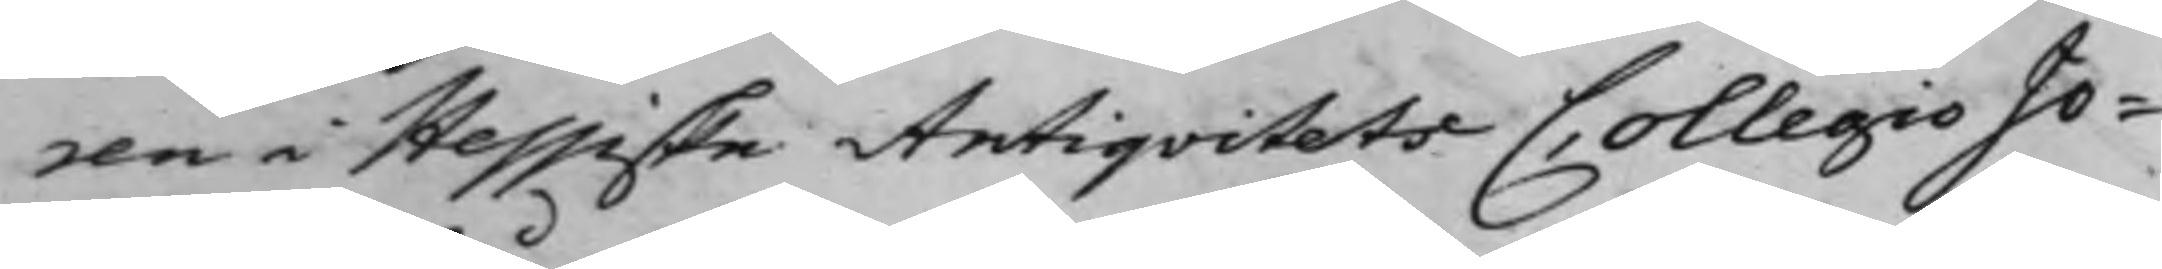ren i Hessiske AntiqvitetsCollegio Jo¬
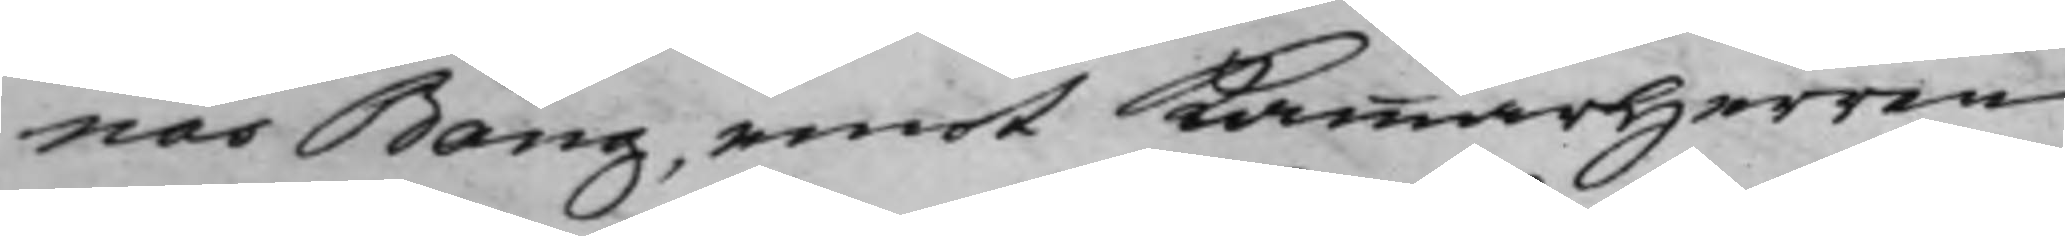nas Bång, emot KammarHerren
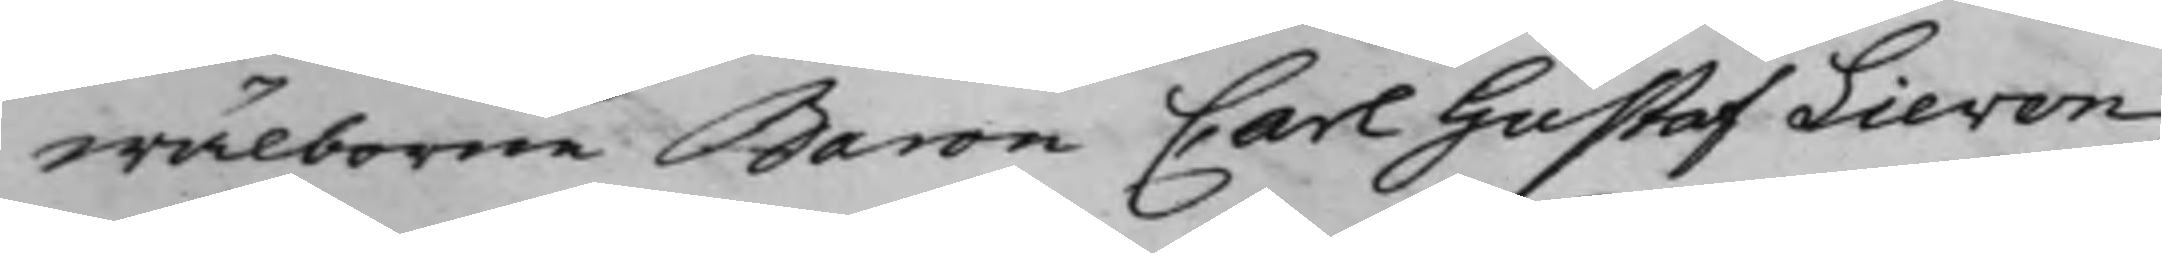wälborne Baron Carl Gustaf Lieven
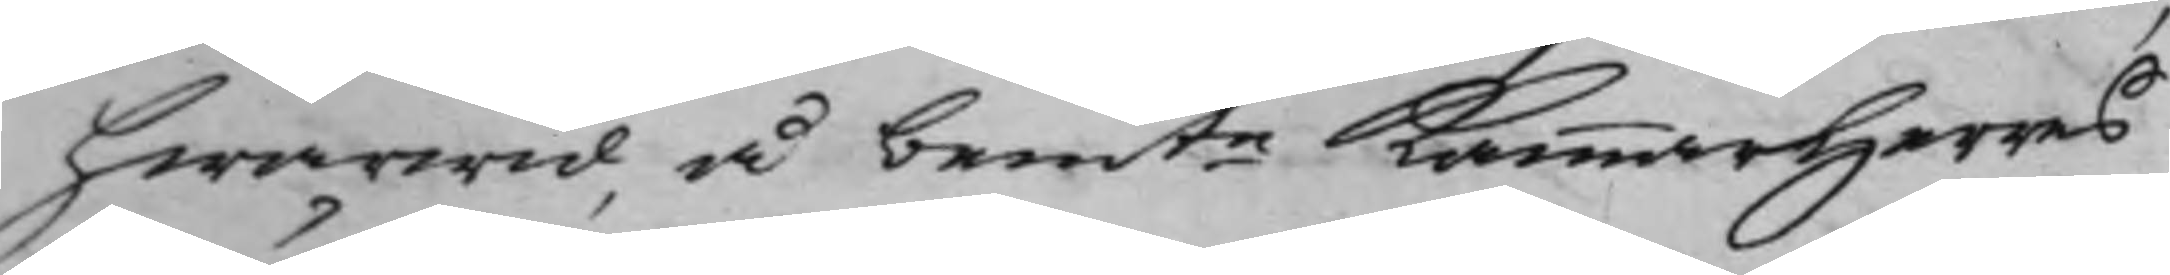hwarwid å bemte KammarHerres 
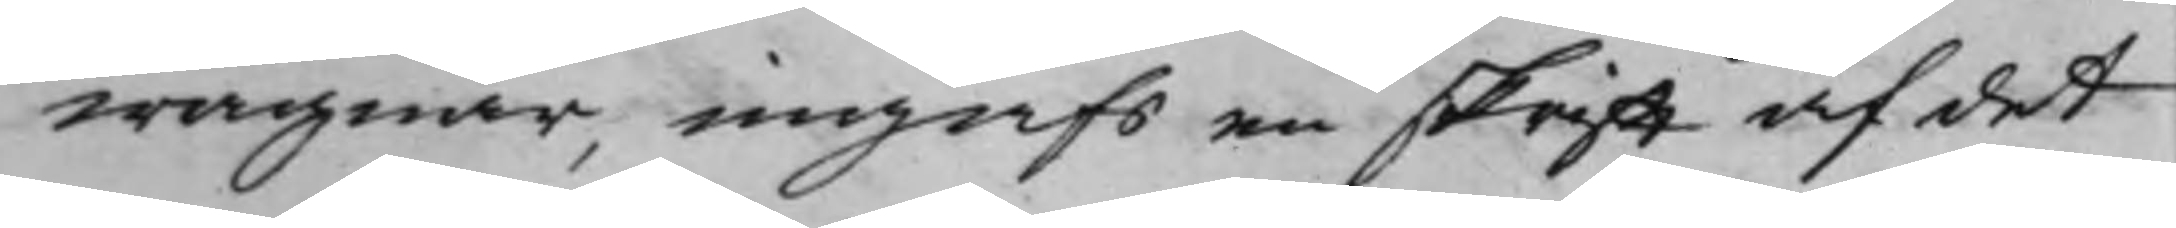wägnar, ingafs en skrifft af det
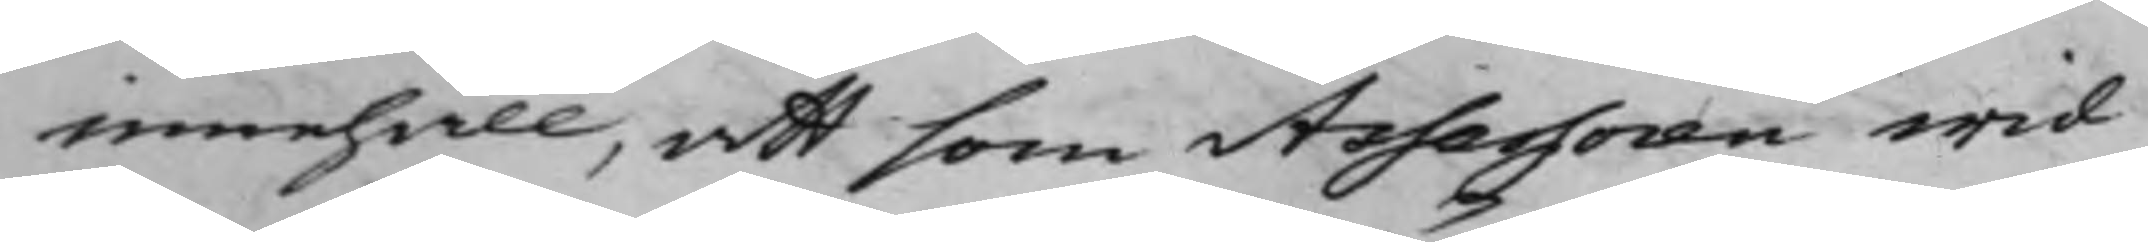innehåll, att som Assessoren wid
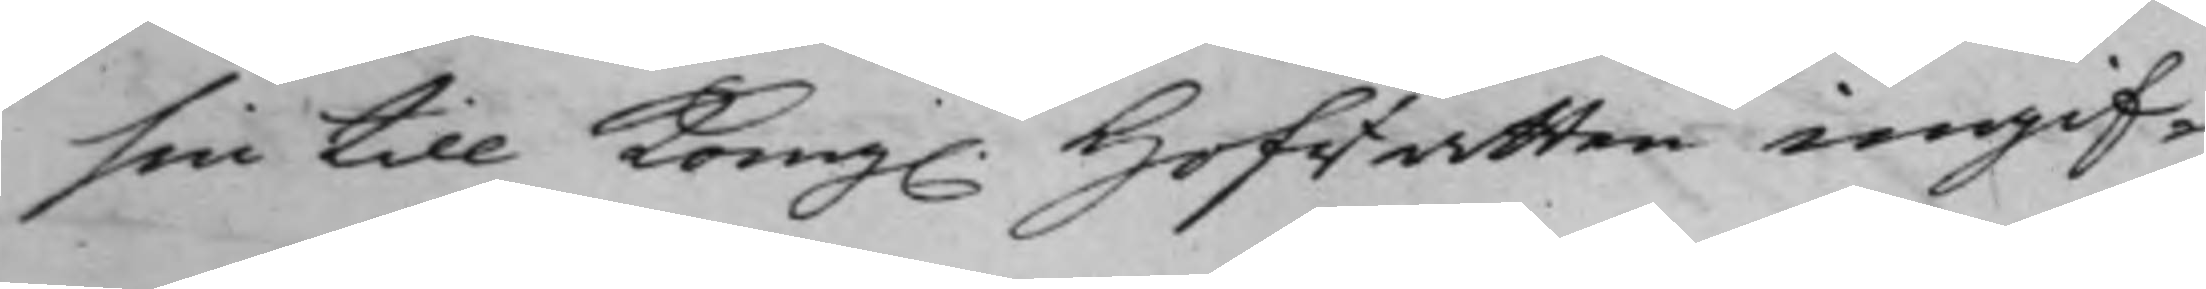sin till Kong. Hofrätten ingif¬ 
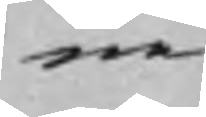ne
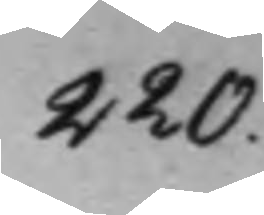220.
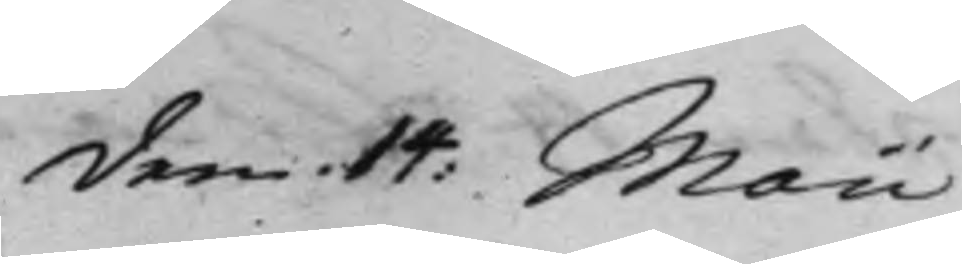den 14: Maii
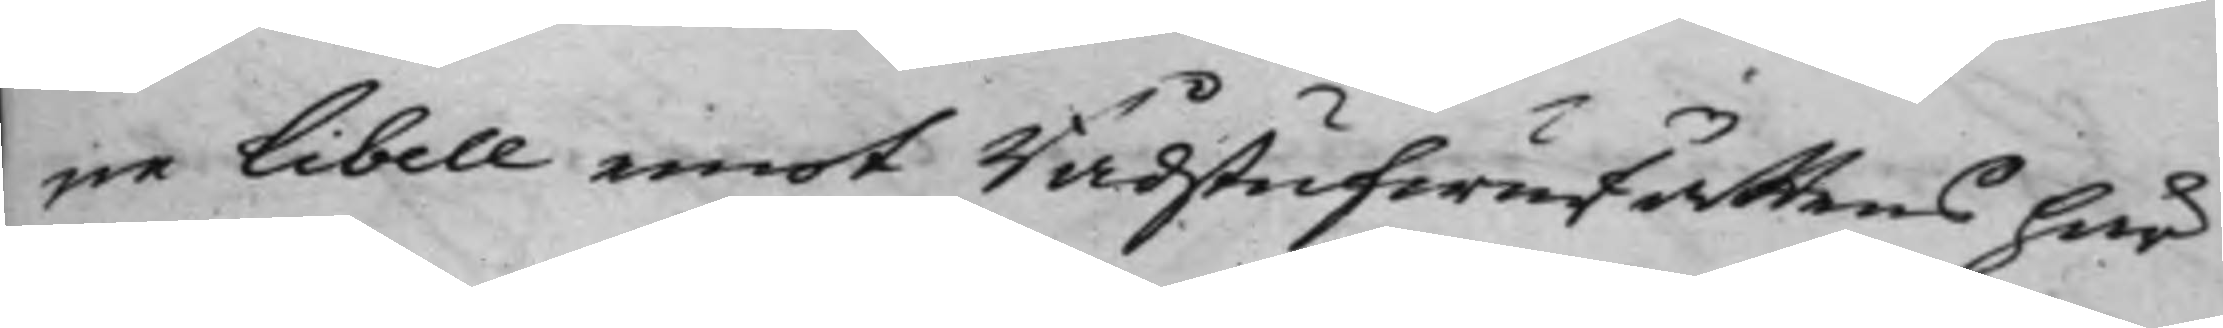ne Libell emot Rådstufwurättens här
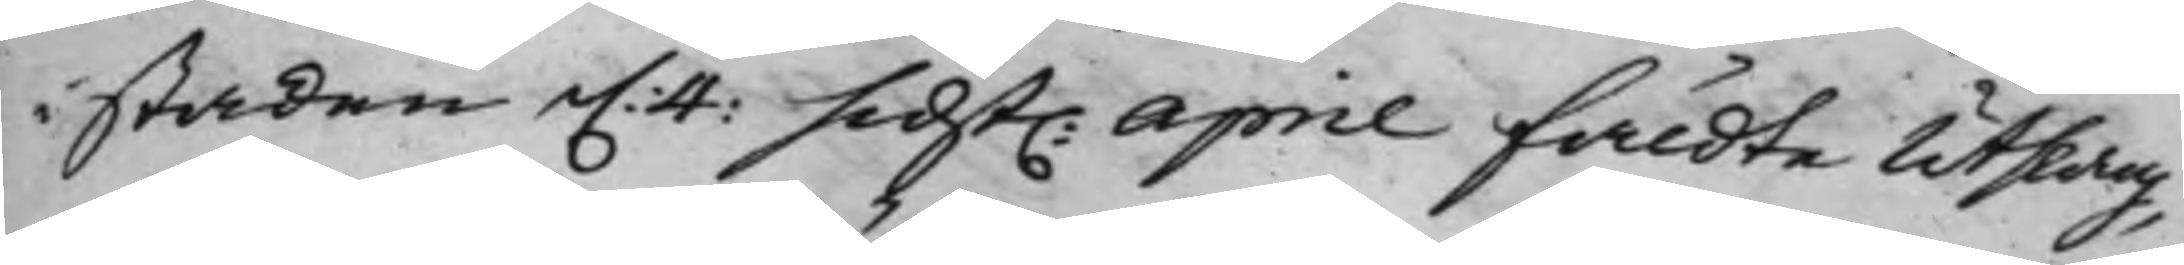i staden d. 4: sidst. April fäldte Utslag, 
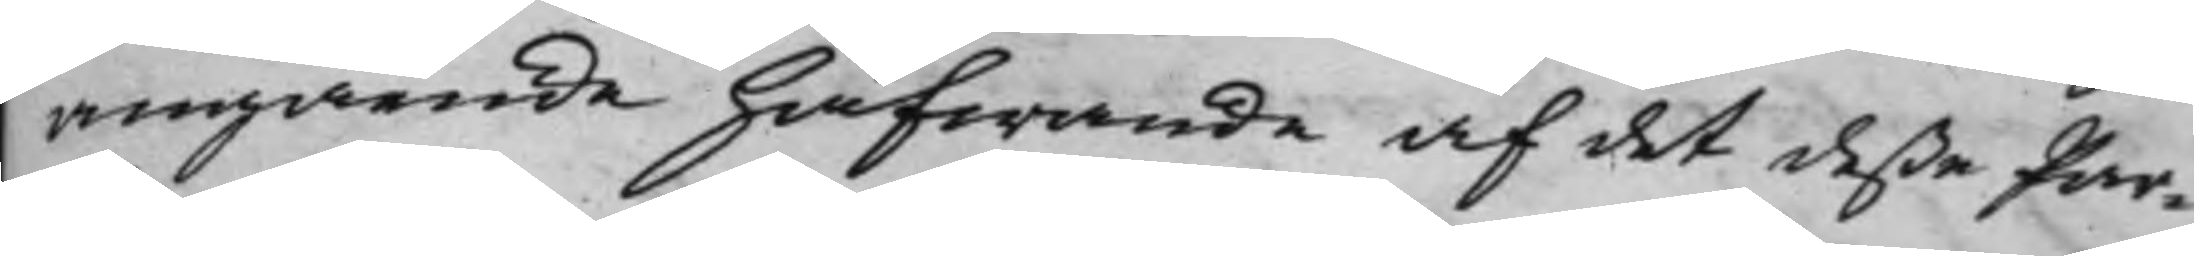angående häfwande af det deße Par¬
